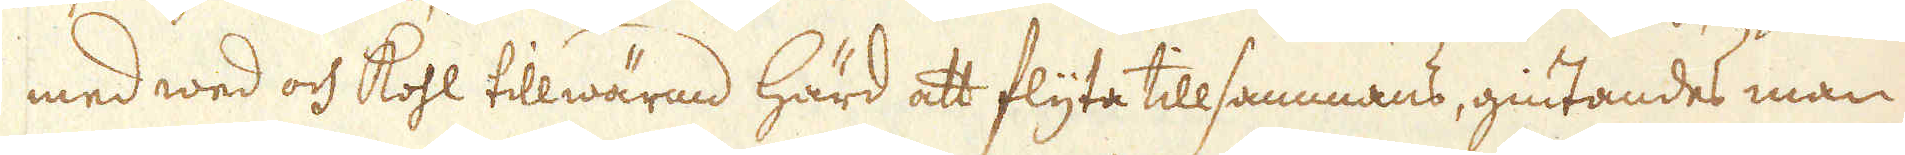med wed och kohl tillwärmd härd att flyta tillsammans, giutandes man
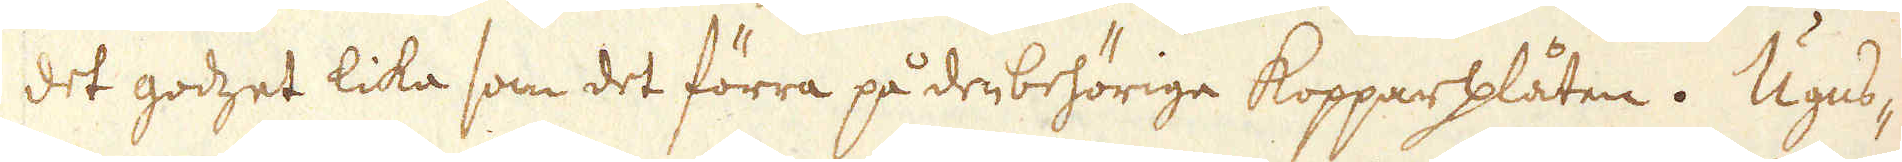det godzet lika som det förra på den behöriga Kopparplåten. Ugns-
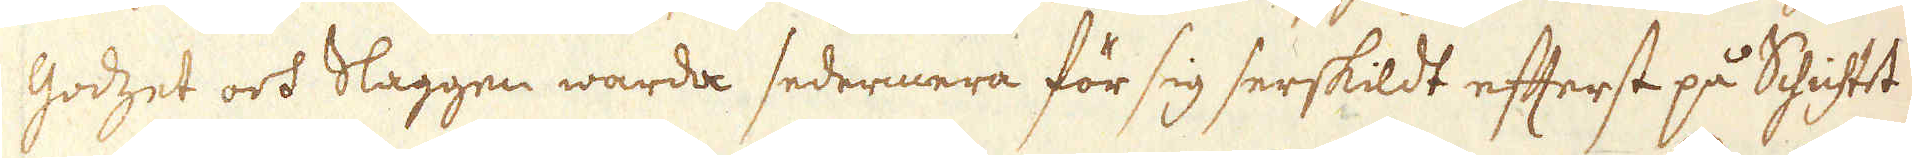godzet och Slaggen warda sedermera för sig serskildt efterst på Schichtet
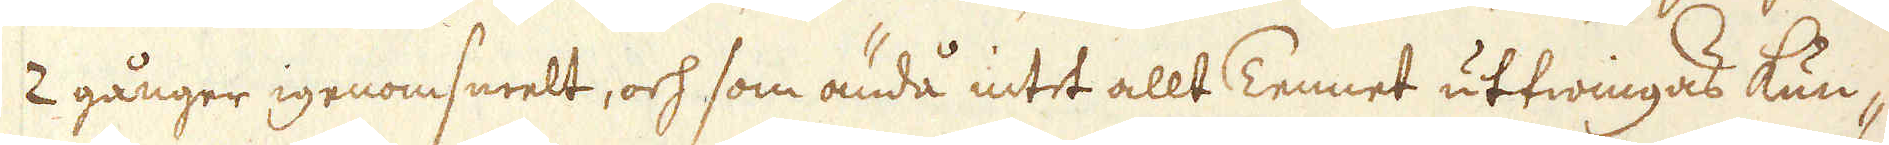2 gånger igenomsmelt, och som ändå intet allt Tennet uttwingas kun-
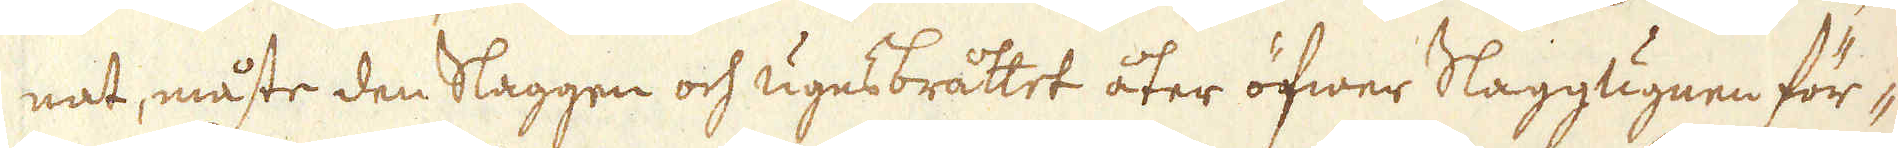nat, måste den Slaggen och ugnsbråttet åter öfwer Slaggugnen för-
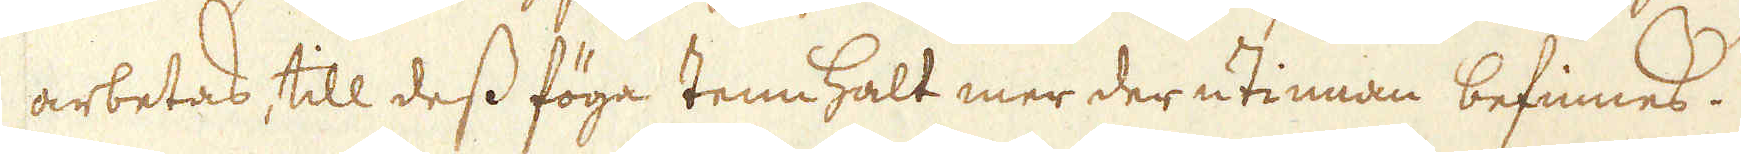arbetas, till dess föga tennhalt mer der utinnan befinnes.
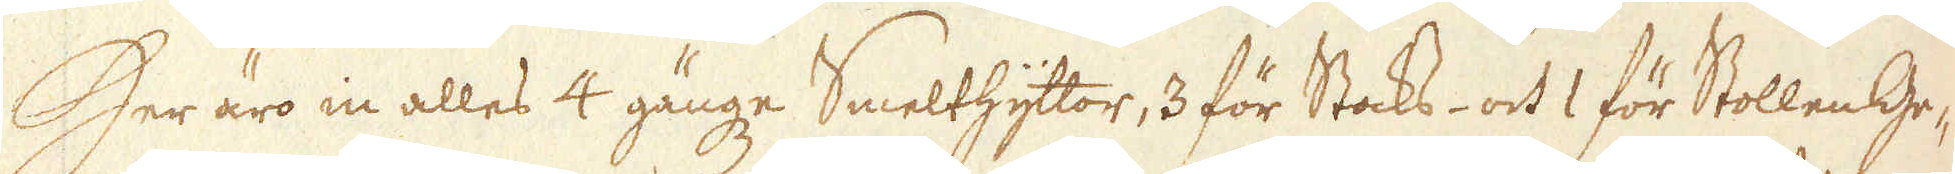Her äro in alles 4 gängze Smelthyttor, 3 för Stacks- och 1 för Stollen Ge-
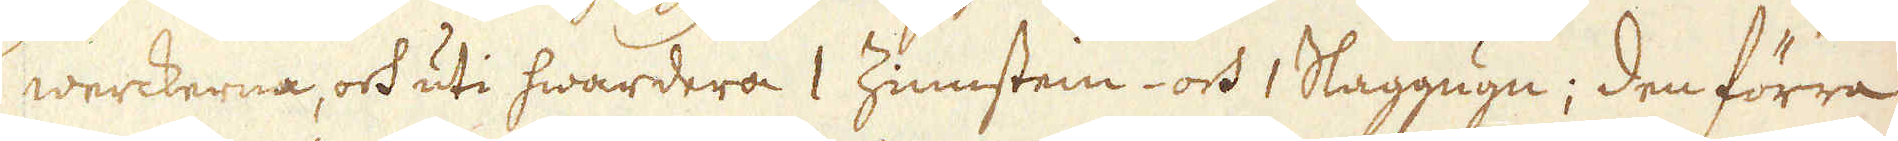werckerna, och uti hwardera 1 Zinnstein- och 1 Slaggugn; den förra
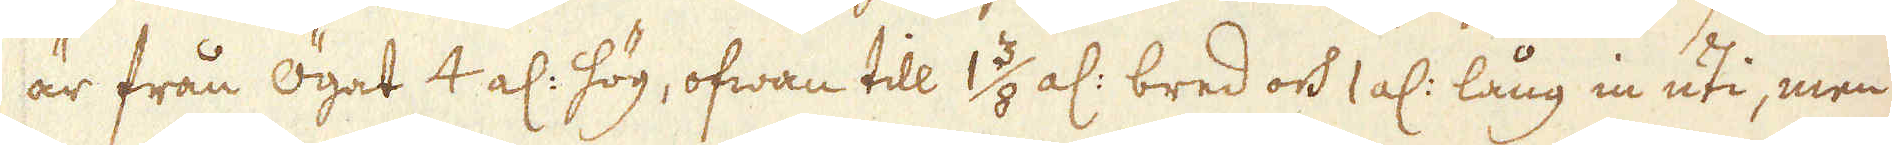är från ögat 4 al: hög, ofwan till 1 3/8 al: bred och 1 al: lång in uti, men
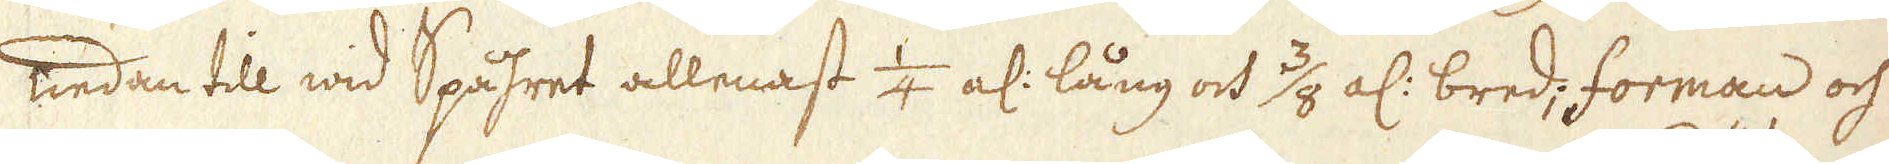nedan till wid Spåhret allenast 1/4 al: lång och 3/4 al: bred; forman och
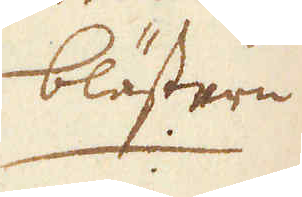blästern.
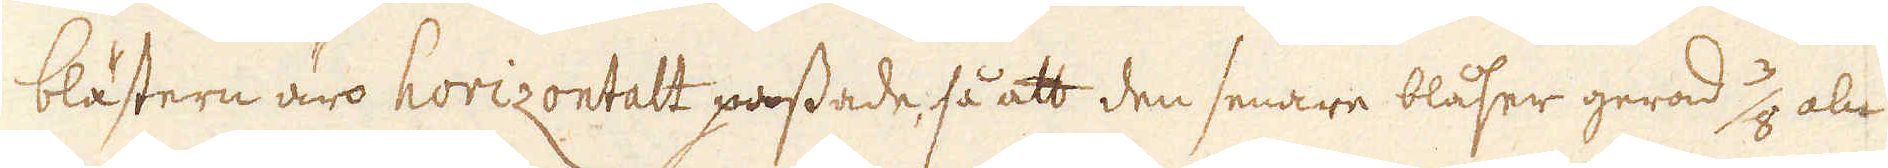blästern äro horizontalt passade, så att den senare blåser gerad 3/8 aln
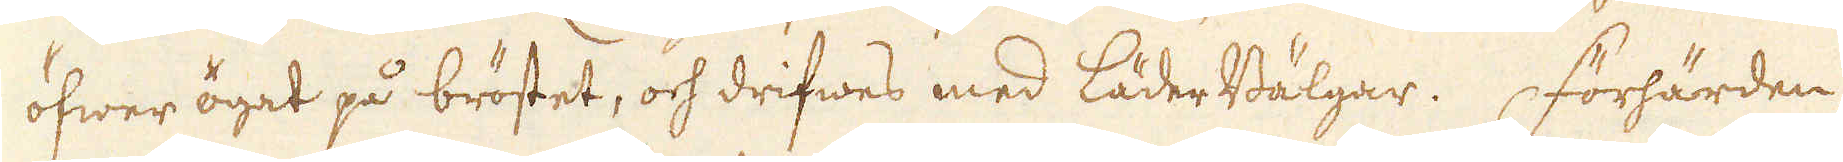öfwer ögat på bröstet, och drifwes med läderBälgar. Förhärden
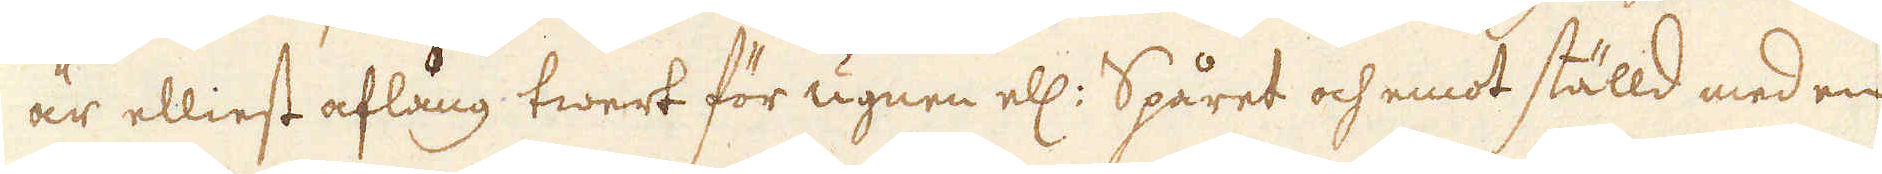är elliest aflång twert för ugnen ell: Spåret och emot ställd med en
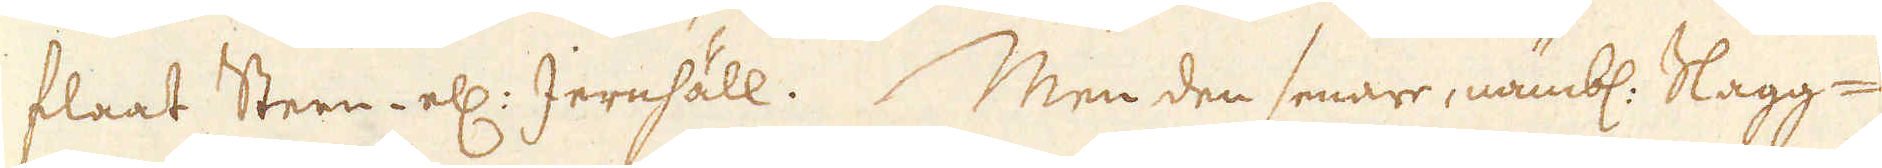flaat Steen- ell: Jernhäll. Men den senare, nämbl. Slagg-
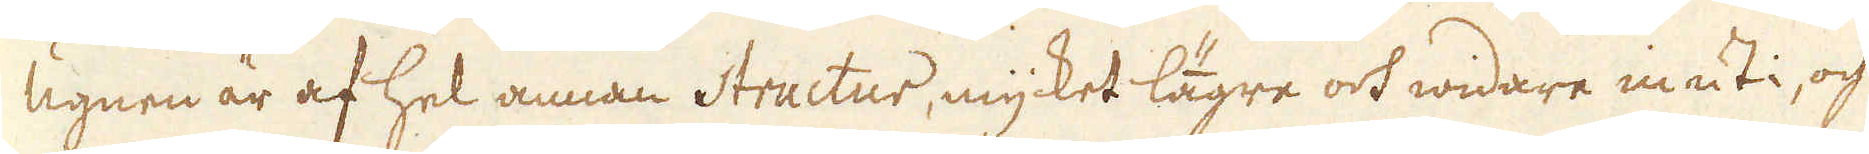Ugnen är af hel annan Structur, mycket lägre och widare inuti, och
